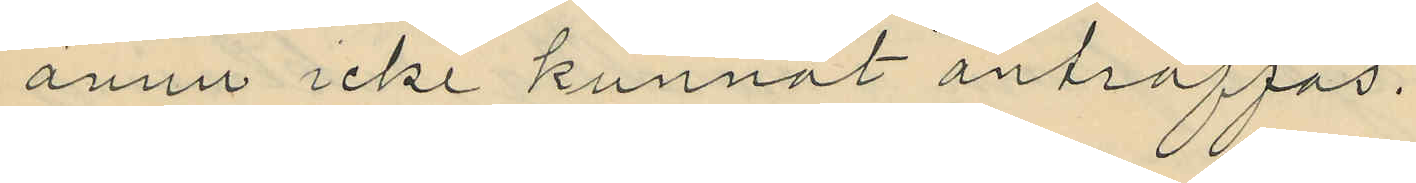ännu icke kunnat anträffas.
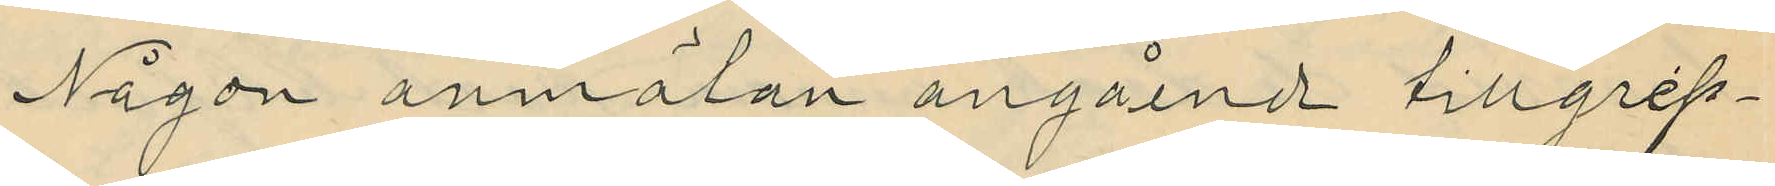Någon anmälan angående tillgrep¬
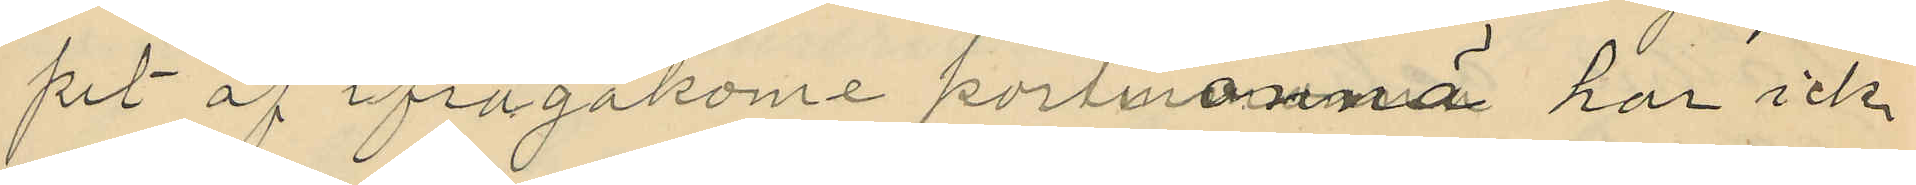pit af ifrågakome portmonnnä har icke
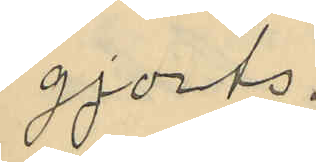gjorts.
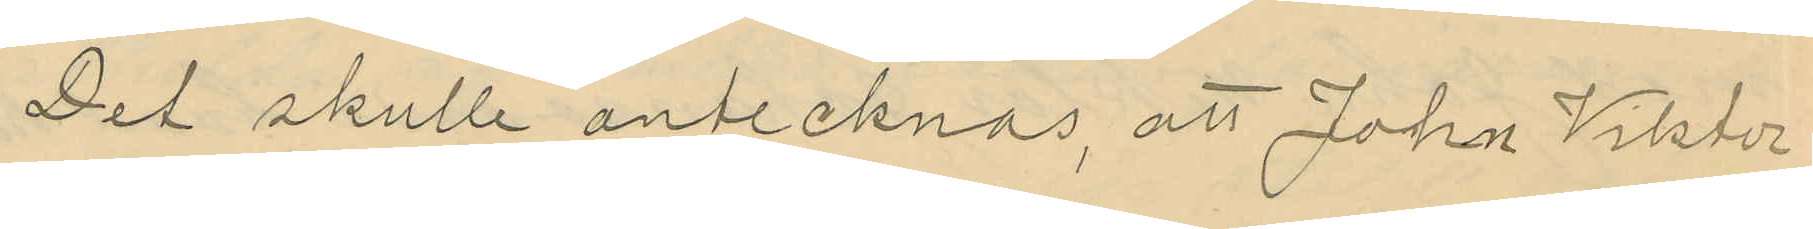Det skulle antecknas, att John Viktor
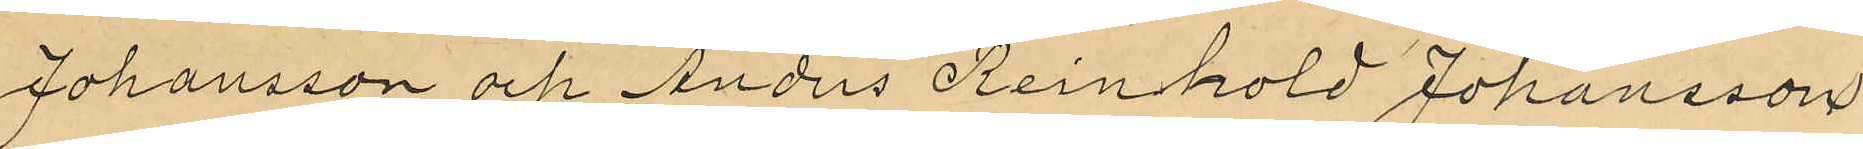Johansson och Anders Reinhold Johansson
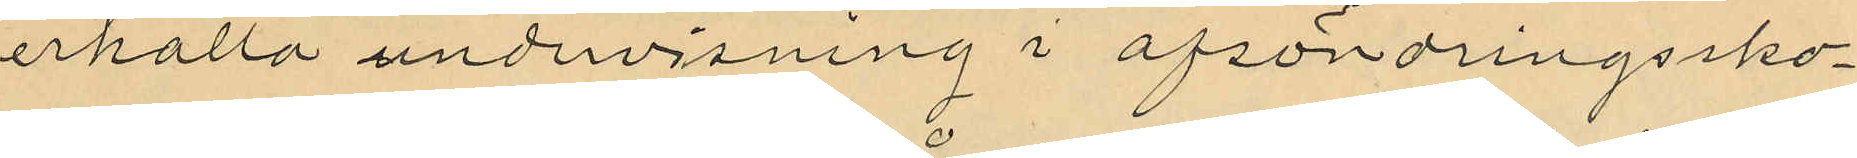erhålla undervisning i afsöndringssko¬
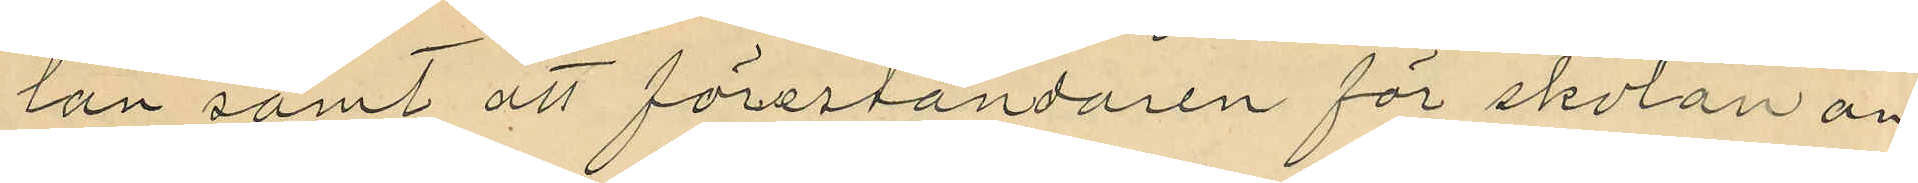lan samt att föreståndaren för skolan an¬
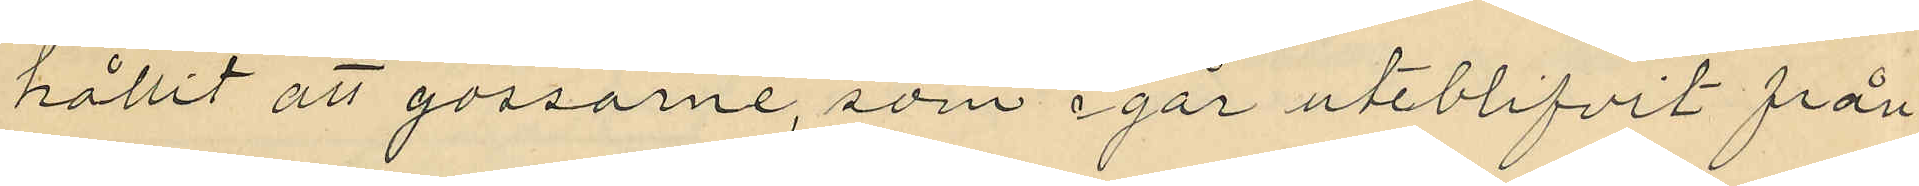hållit att gossarne, som igår uteblifvit från
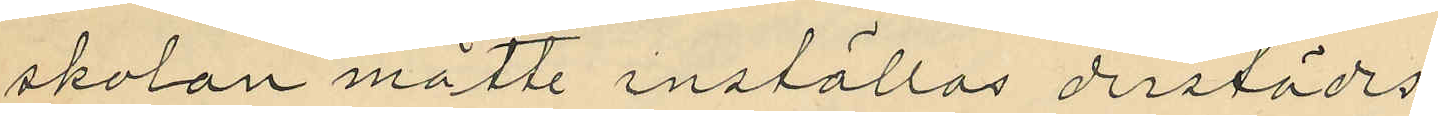skolan måtte inställas derstädes.
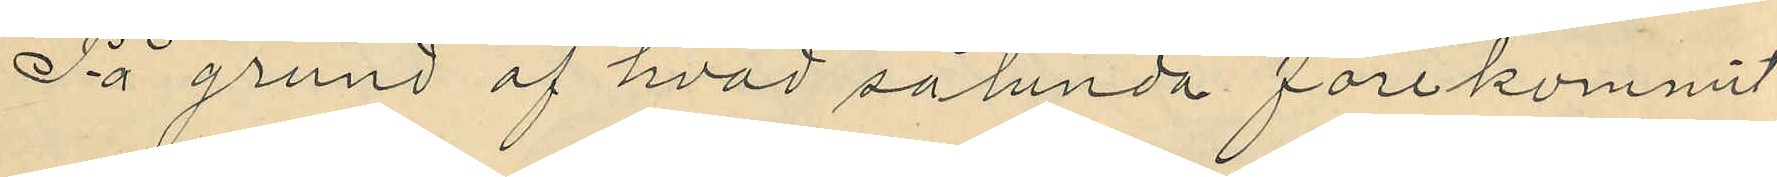På grund af hvad sålunda förekommit
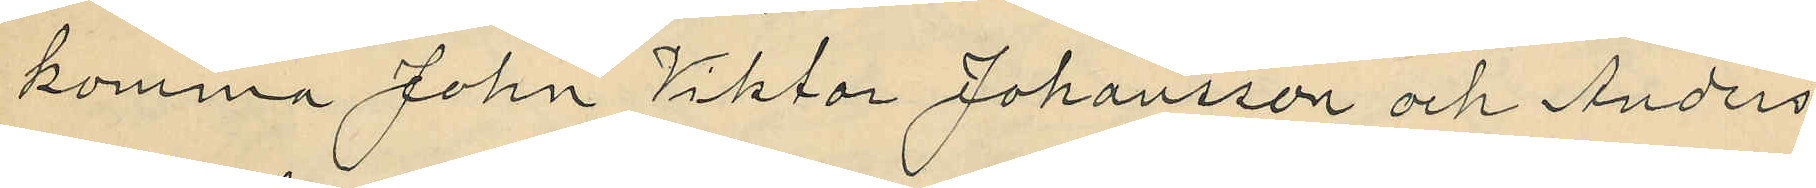komma John Viktor Johansson och Anders
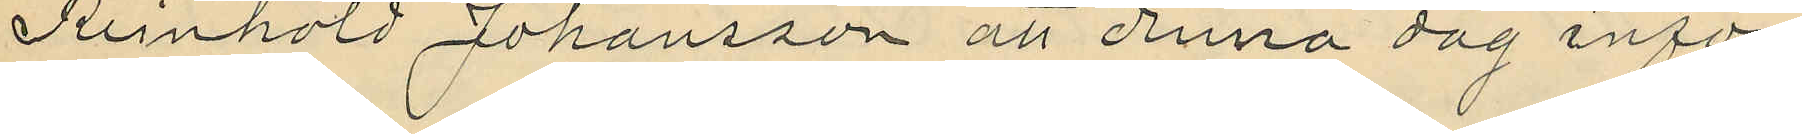Reinhold Johansson att denna dag inför
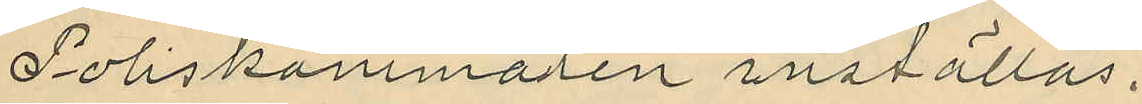Poliskammaren inställas.
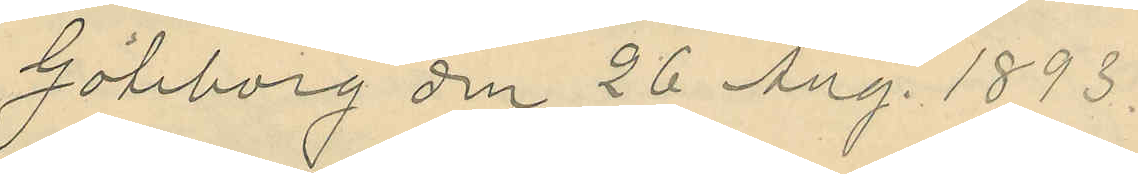Göteborg den 26 Aug. 1893.
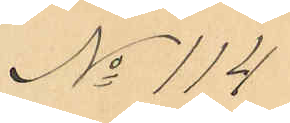No 114
